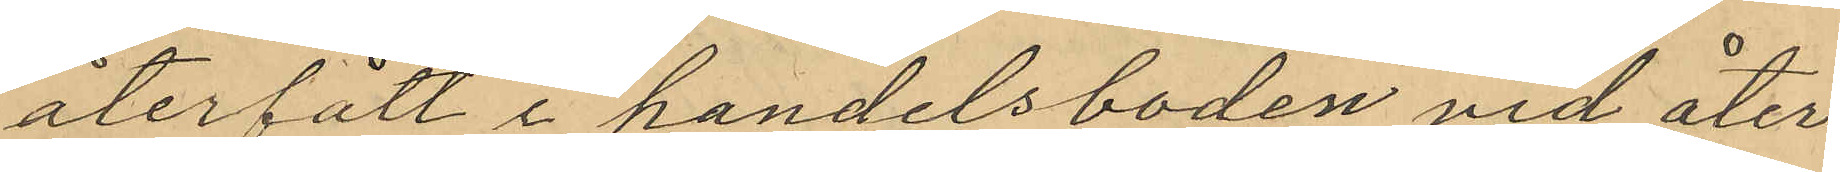återfått i handelsboden vid åter¬
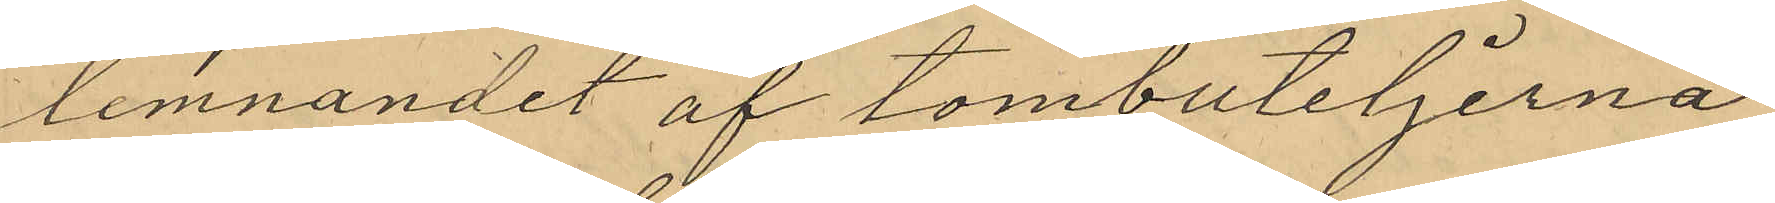lemnandet af tombuteljerna;
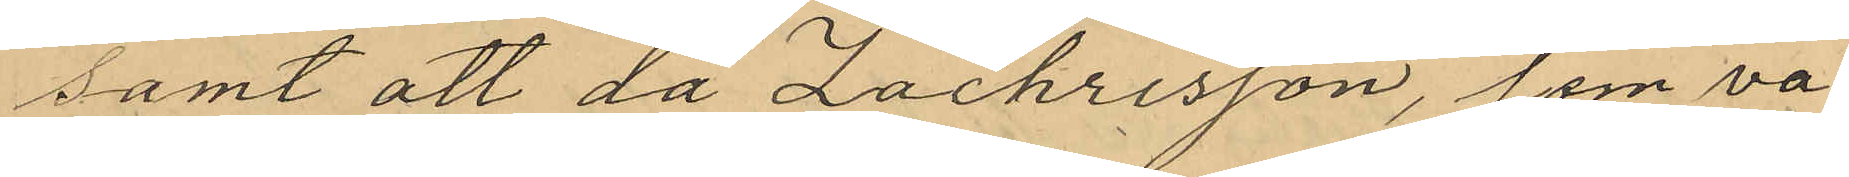samt att då Zachrisson, som va¬
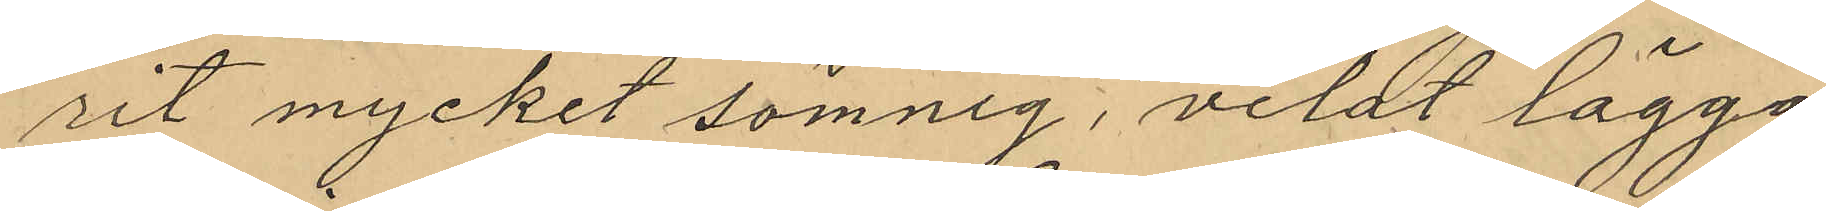rit mycket sömnig, velat lägga
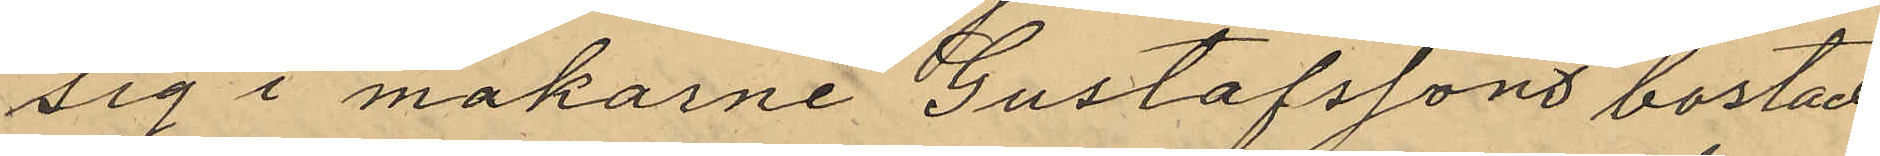sig i makarne Gustafssons bostad,
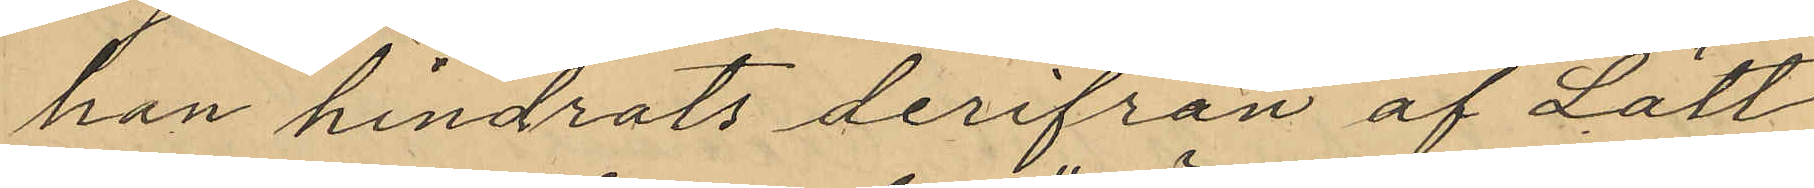han hindrats derifrån af Lätt
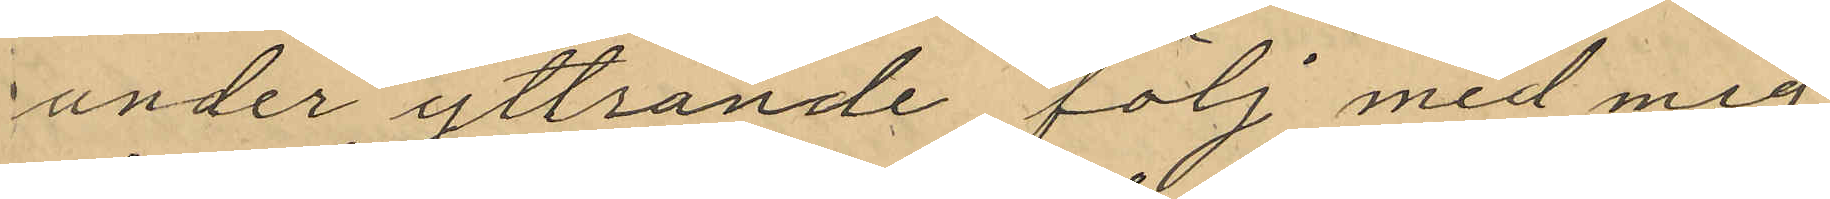under yttrande följ med mig,
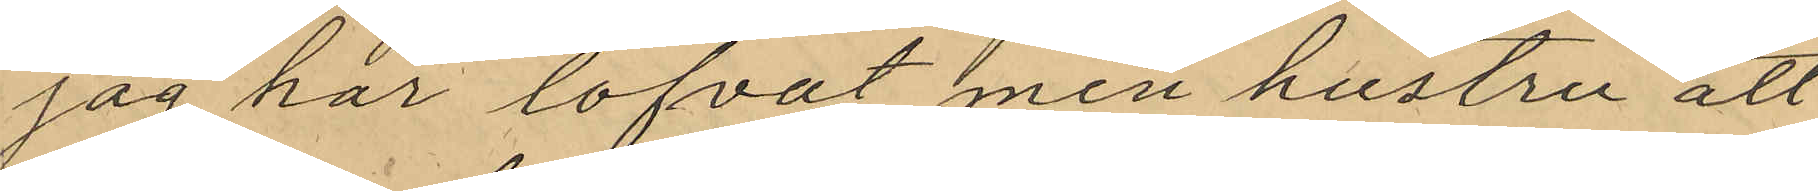jag har lofvat min hustru att
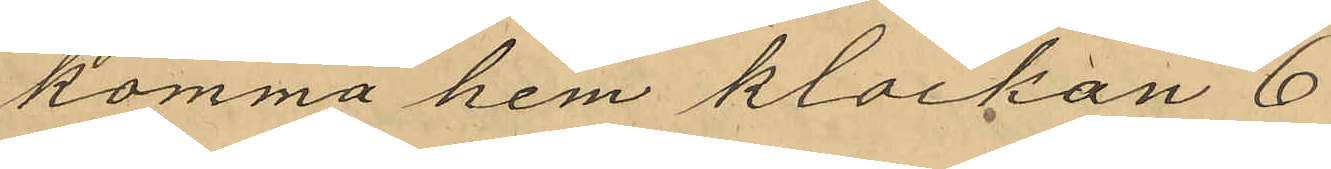komma hem klockan 6
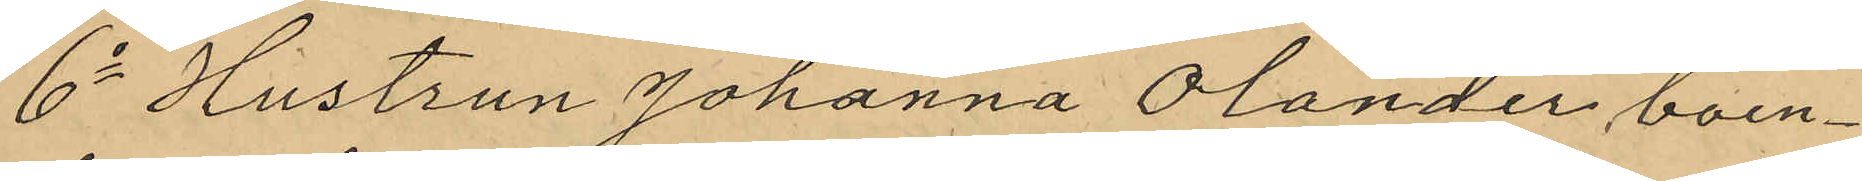6o Hustrun Johanna Olander, boen¬
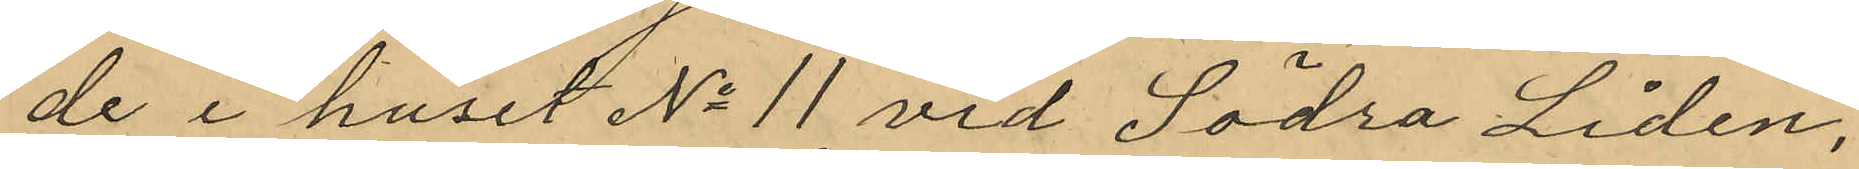de i huset No 11 vid Södra Liden,
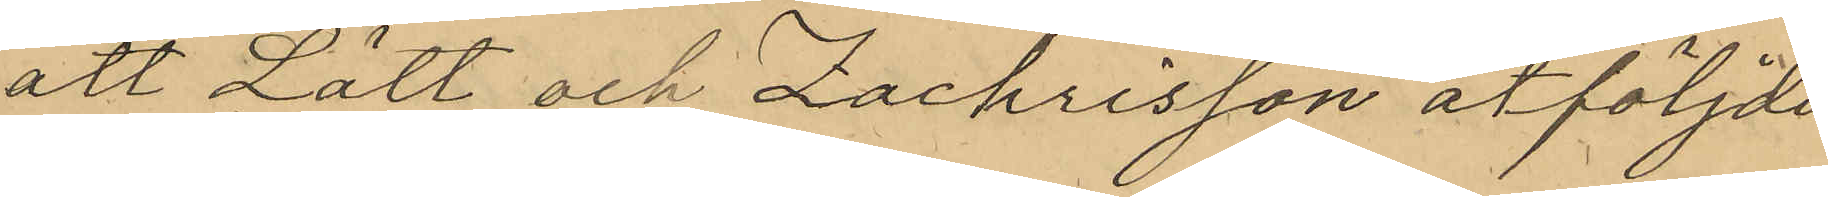att Lätt och Zachrisson åtföljde
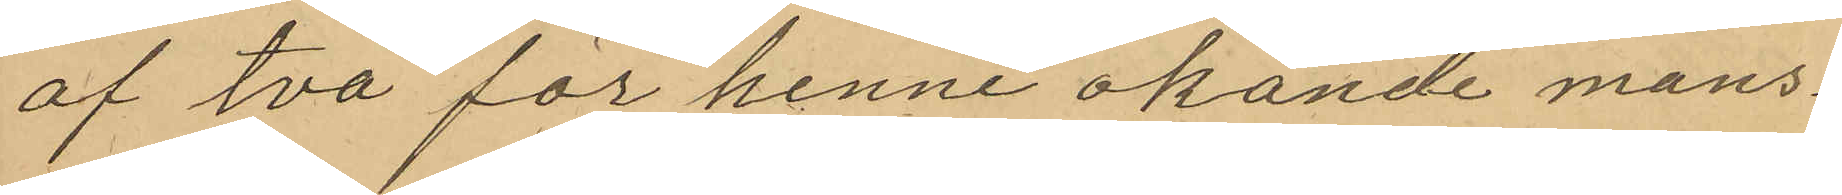af två för henne okände mans¬
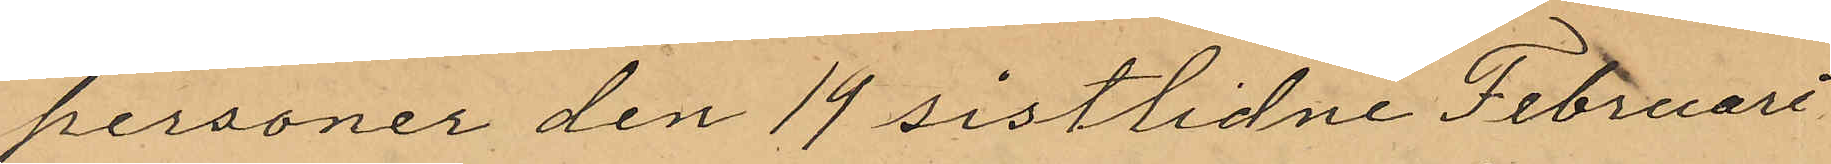personer den 19 sistlidne Februari
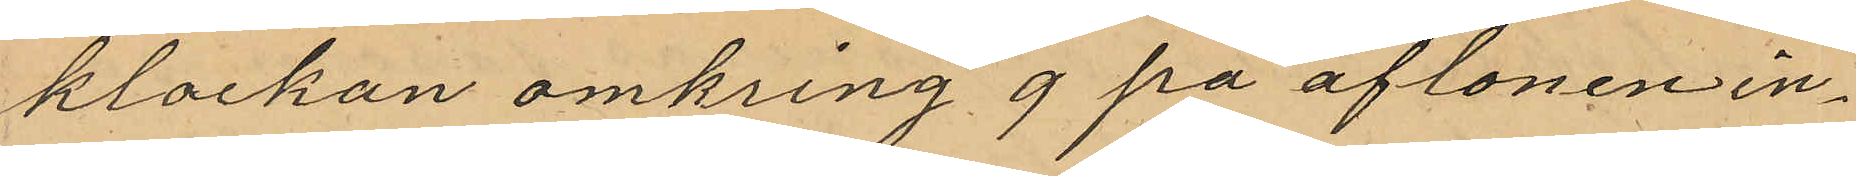klockan omkring 9 på aftonen in¬
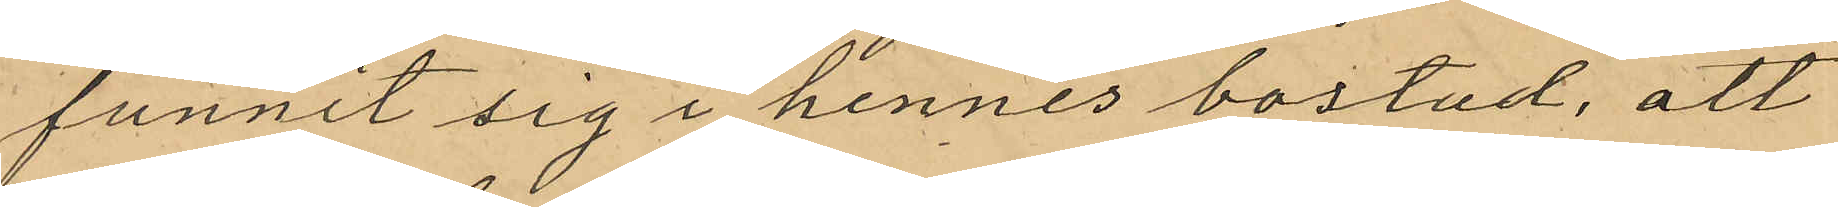funnit sig i hennes bostad, att
